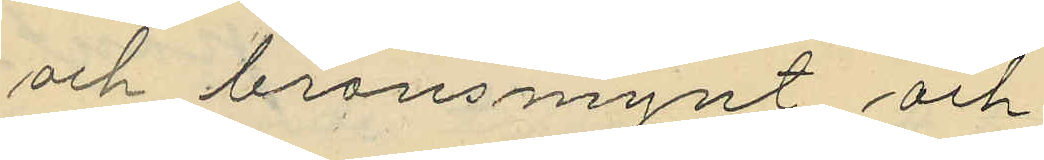och bronsmynt och
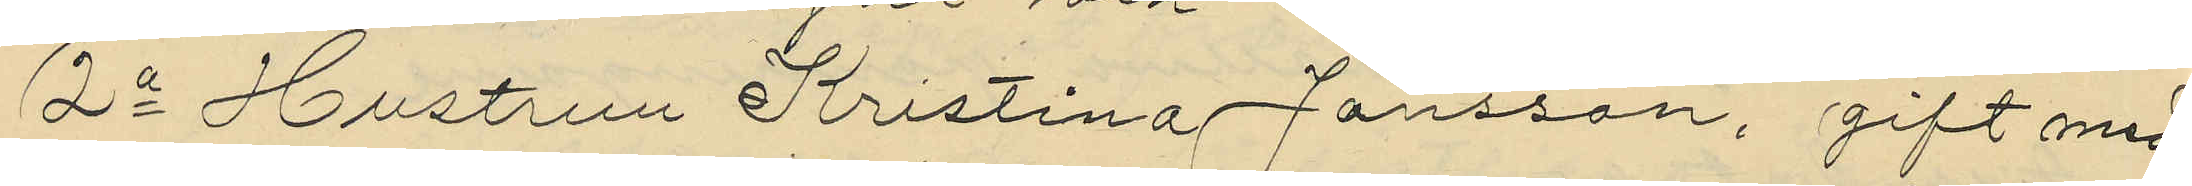2o Hustrun Kristina Jansson, gift med
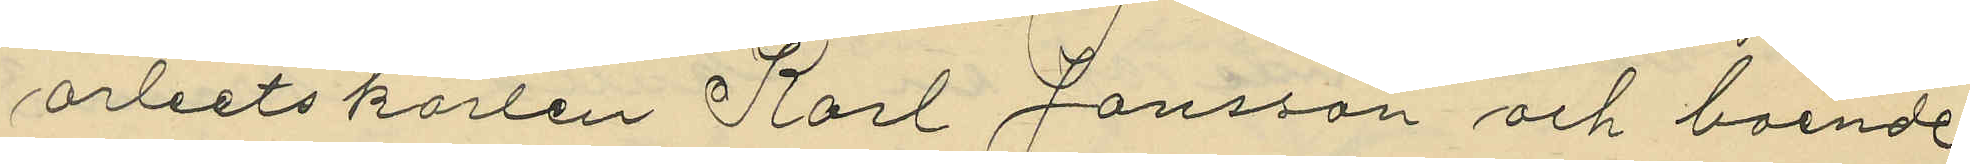arbetskarlen Karl Jansson och boende
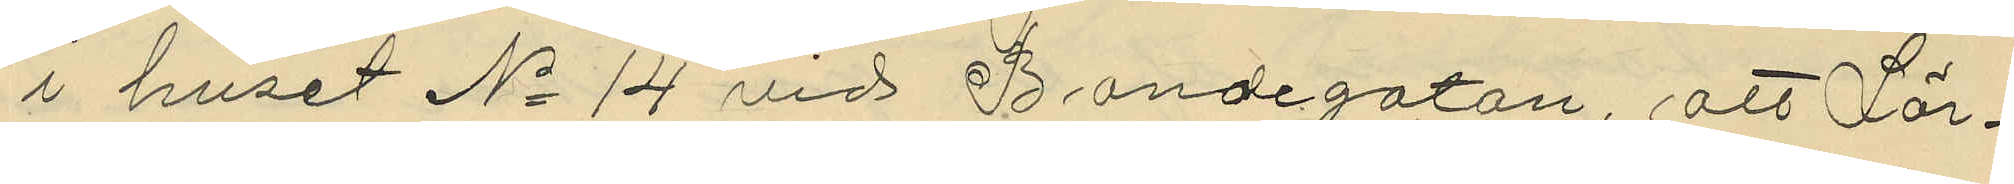i huset No 14 vid Bondegatan, att Lör¬
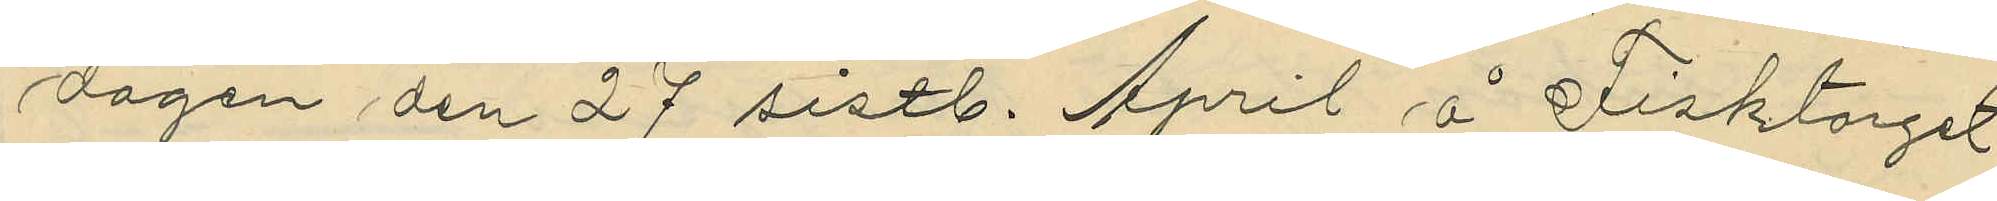dagen den 27 sistl. April å Fisktorget
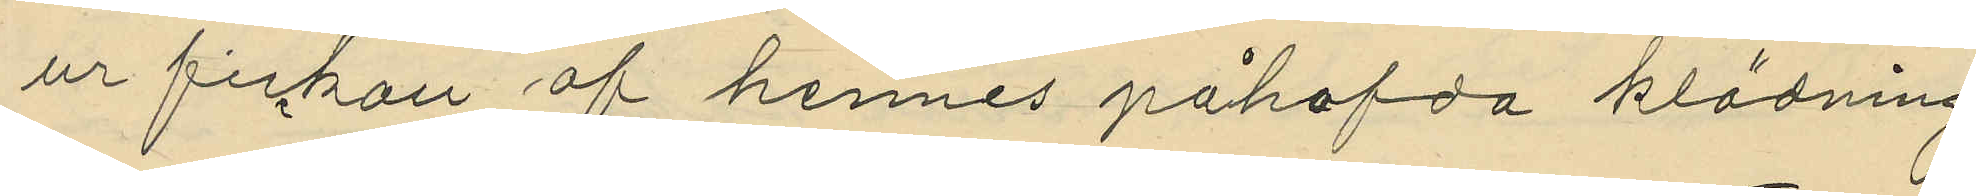ur fickan af hennes påhafda klädning
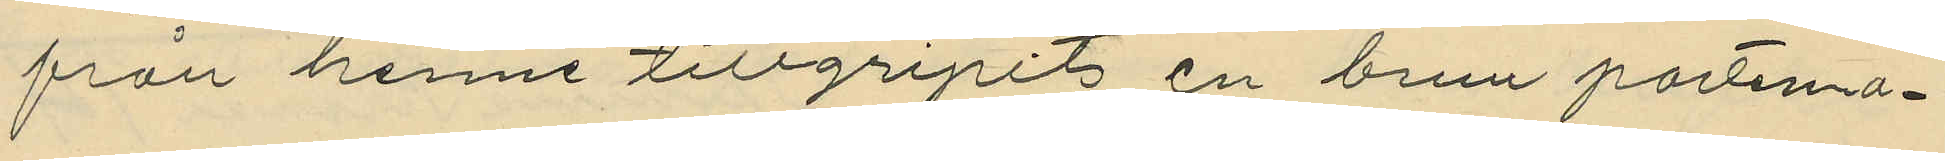från henne tillgripit en brun portmo¬
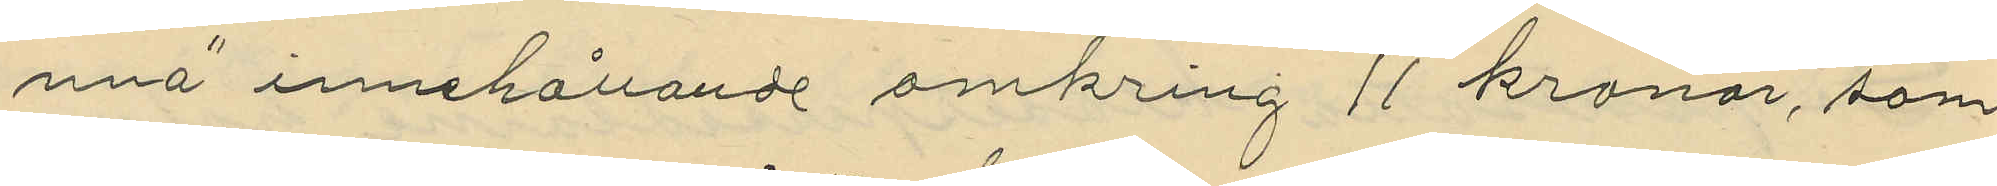nna innehållande omkring 11 kronor, som
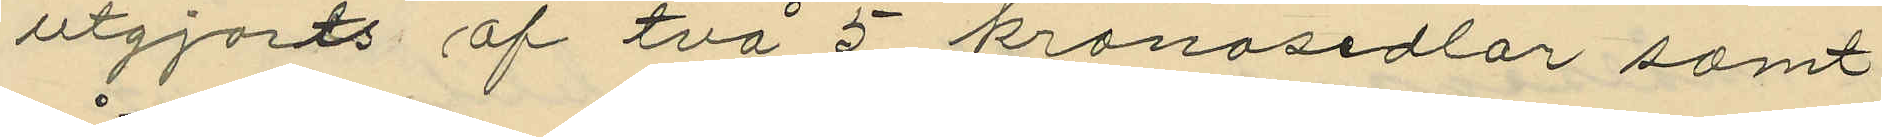utgjorts af två 5 kronosedlar samt
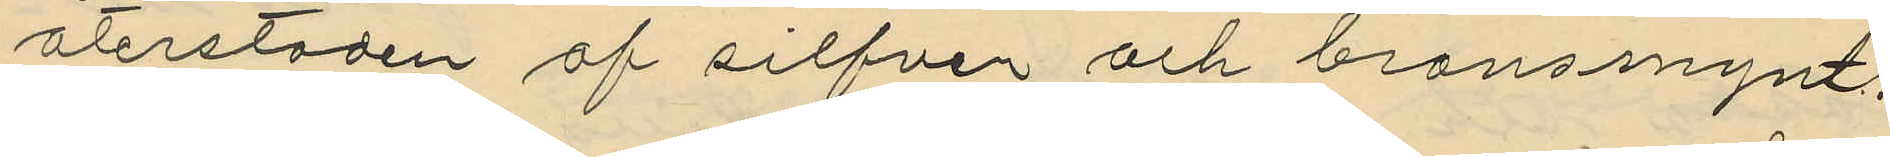återstoden af silfver och bronsmynt.
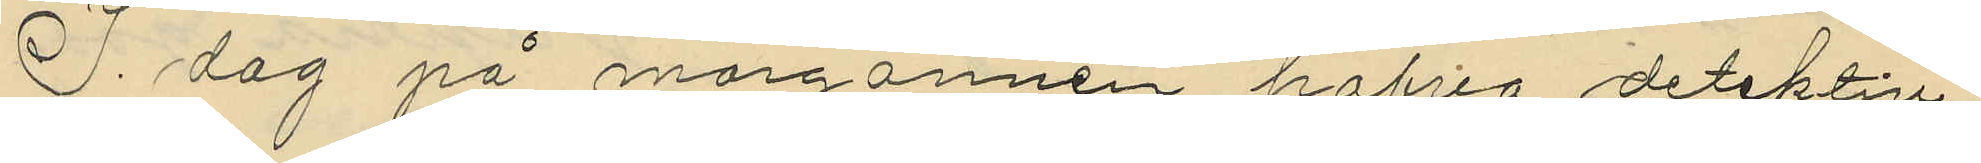I dag på morgonnen hafva detektiv¬
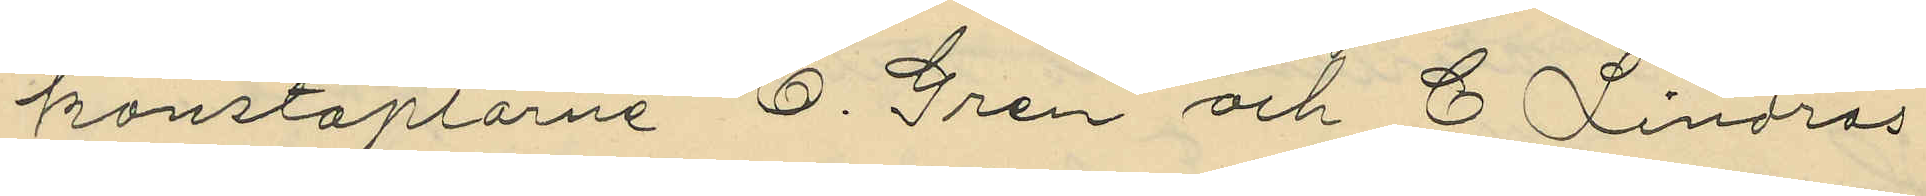konstaplarne E. Gren och C Lindros
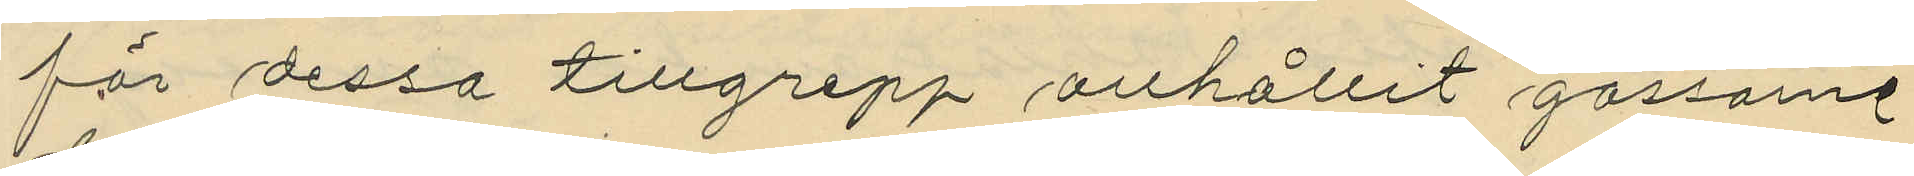för dessa tillgrepp anhållit gossarne
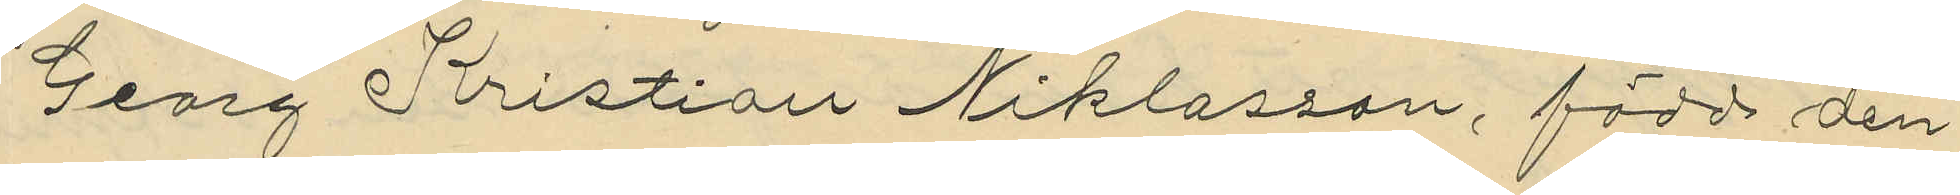Georg Kristian Niklasson, född den
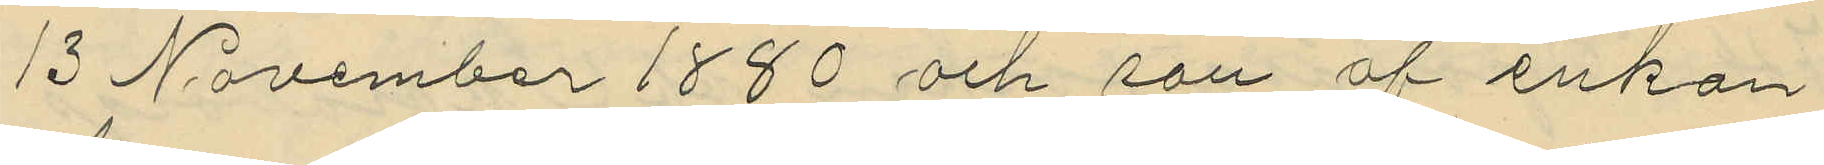13 November 1880 och son af enkan
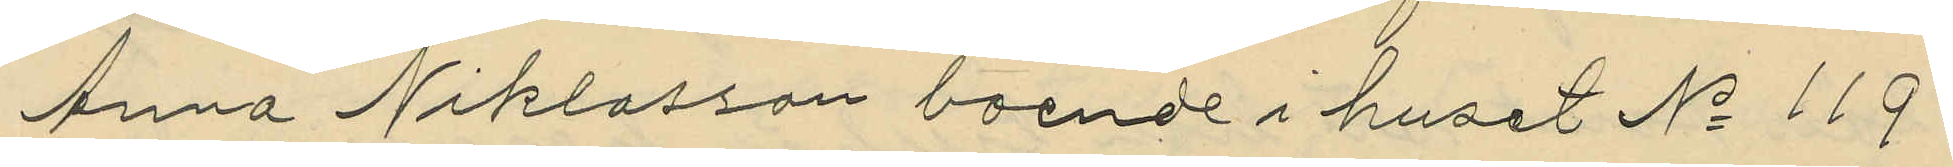Anna Niklasson boende i huset No 119
